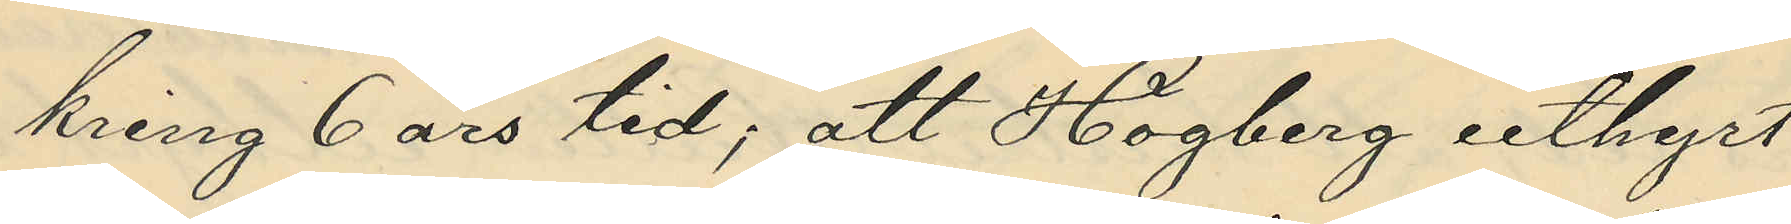kring 6 års tid; att Högberg uthyrt
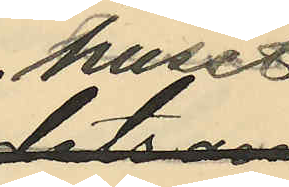huset
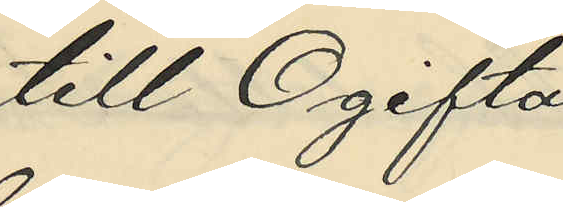till Ogifta
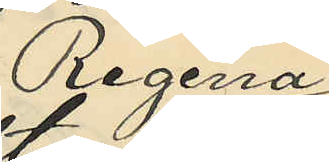Regina
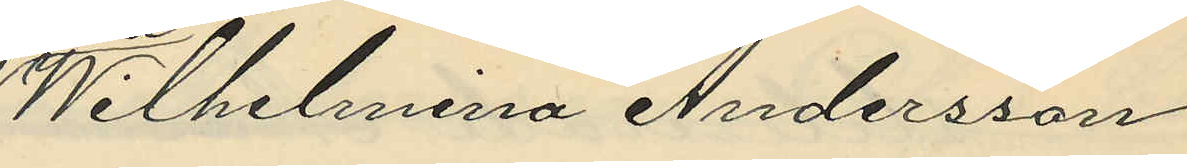Wilhelmina Andersson
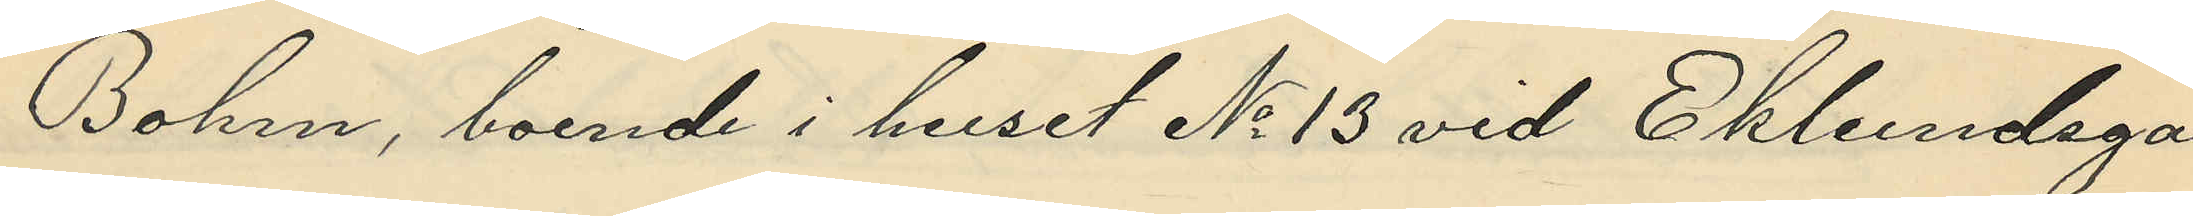Bohm, boende i huset No 13 vid Eklundsga¬
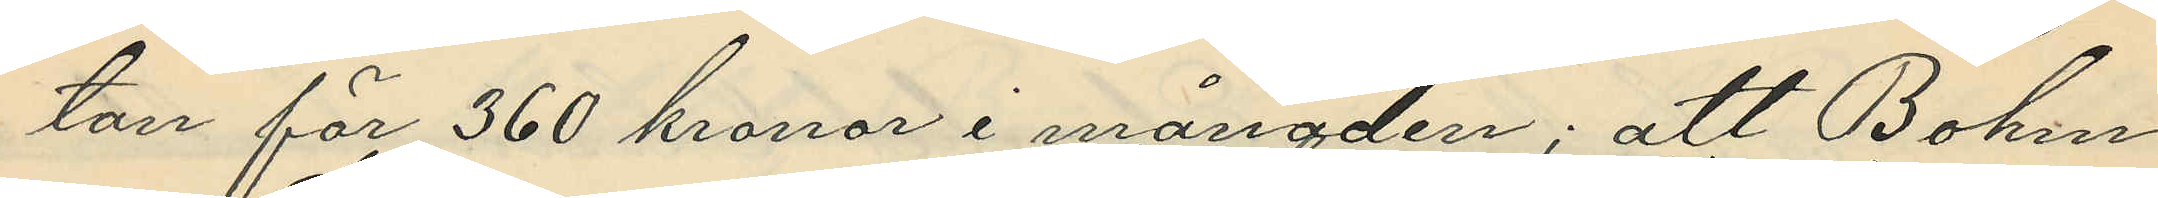tan för 360 kronor i månaden; att Bohm
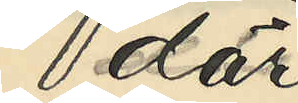där
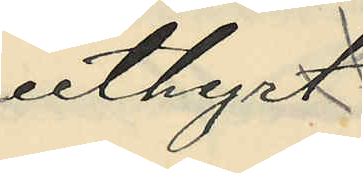uthyrt
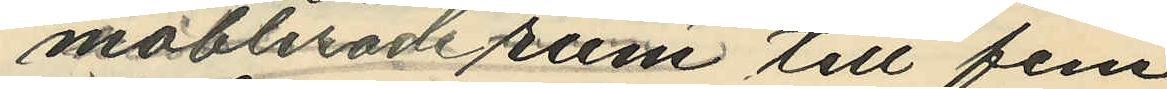möblerade rum till fem
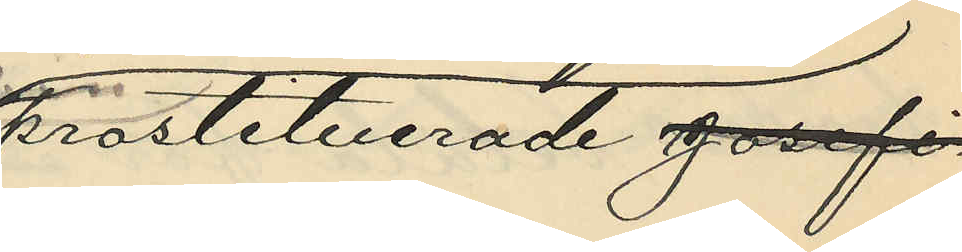prostituerade Josefi¬
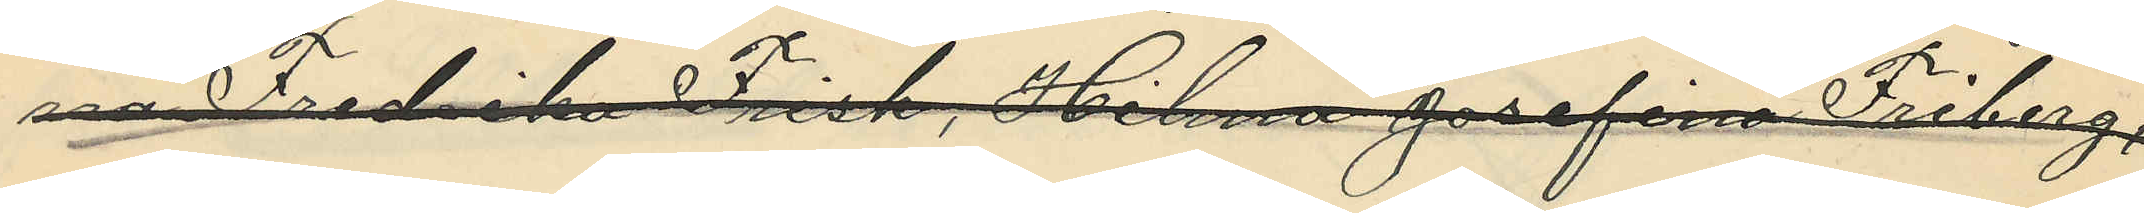na Fredrika Frisk, Hilma Josefina Friberg,
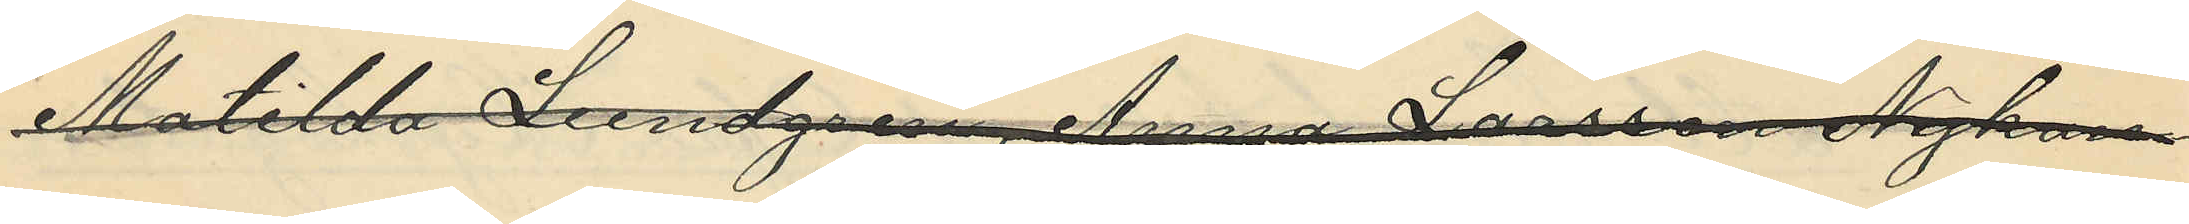Matilda Lundgren, Anna Larsson Nykan¬
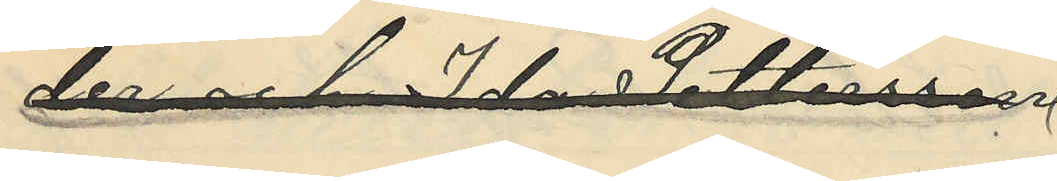der och Ida Pettersson
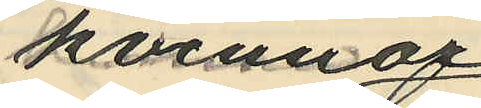kvinnor
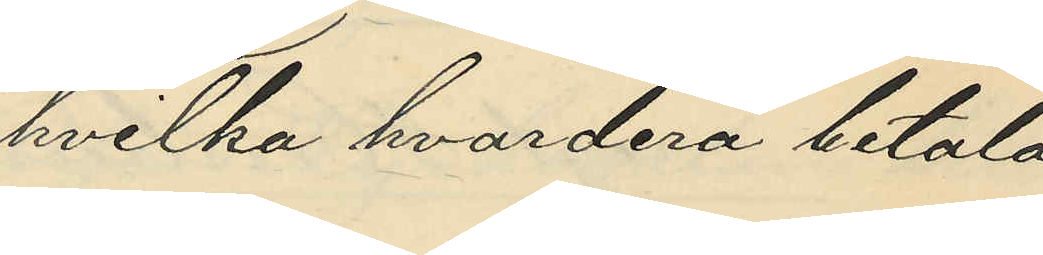hvilka hvardera betala
